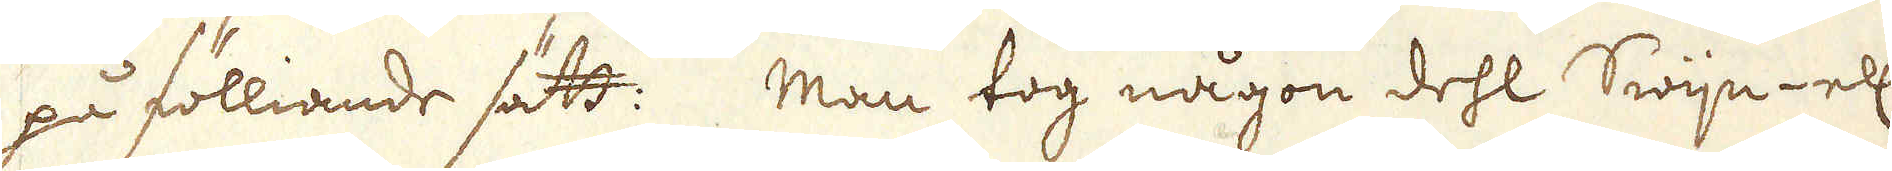på fölliande sätt: Man tog någon dehl Swijn- ell:
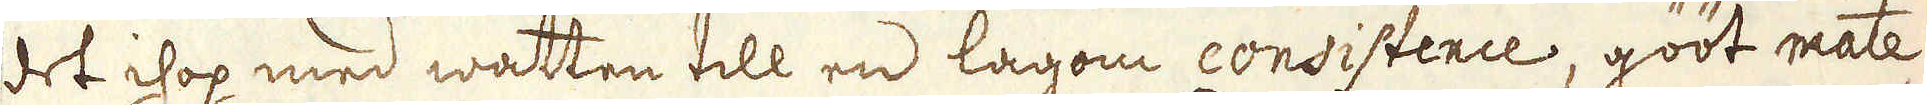det ihop med wattn till en lagom consistence, gööt mate-
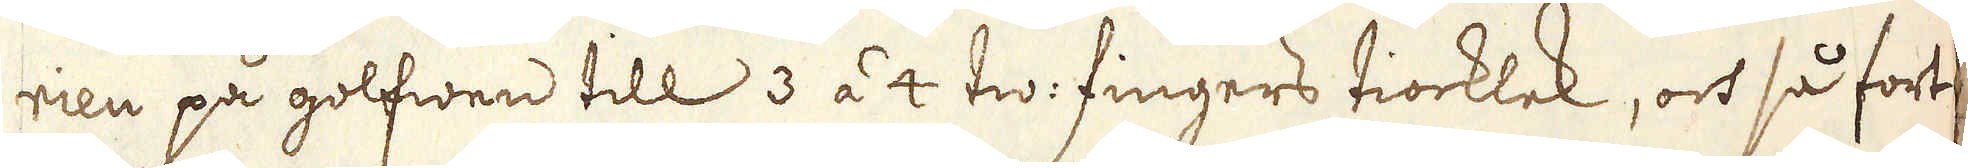rien på golfwen till 3 á 4 tw: fingers tiocklek, och så fort
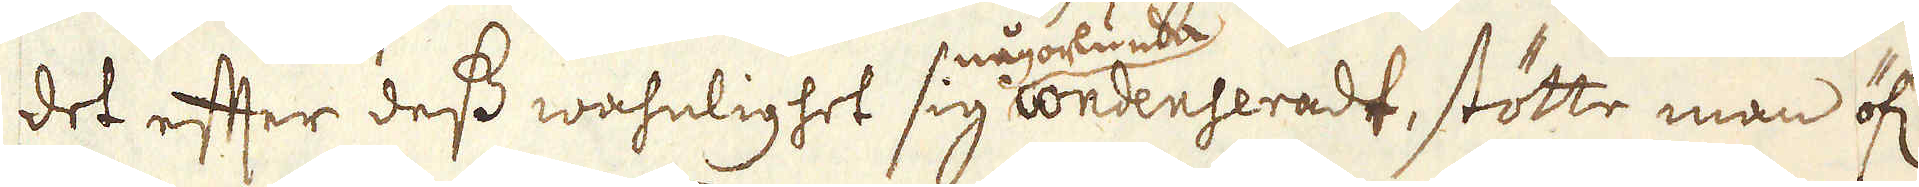det efter dess wahnlighet sig någorlunda condenseradt, stötte man öf:r
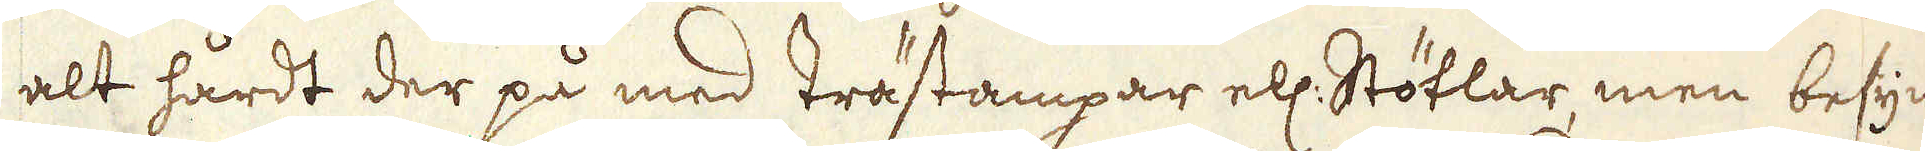alt hårdt der på med trästampar ell: Stötlar, men besyn-
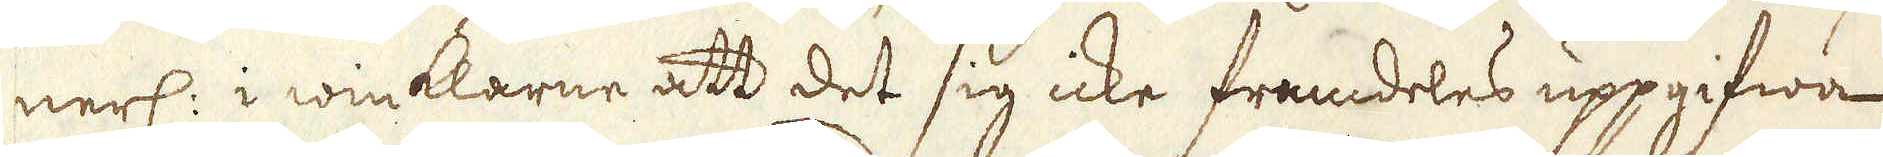nerl: i winkkarne att det sig icke framdeles uppgifwa
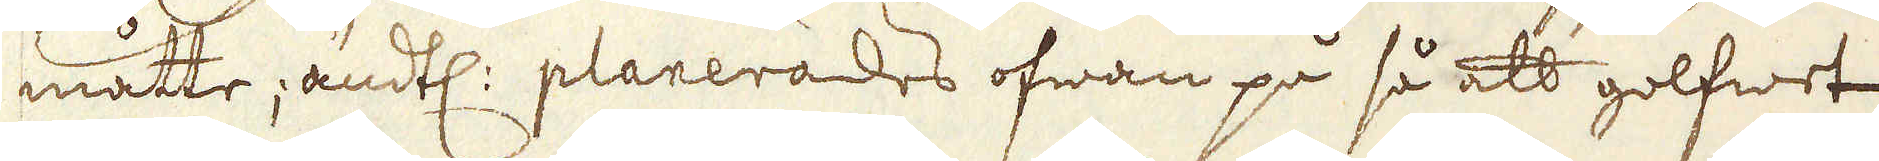måtte; ändtl: planerades ofwan på så att golfwet
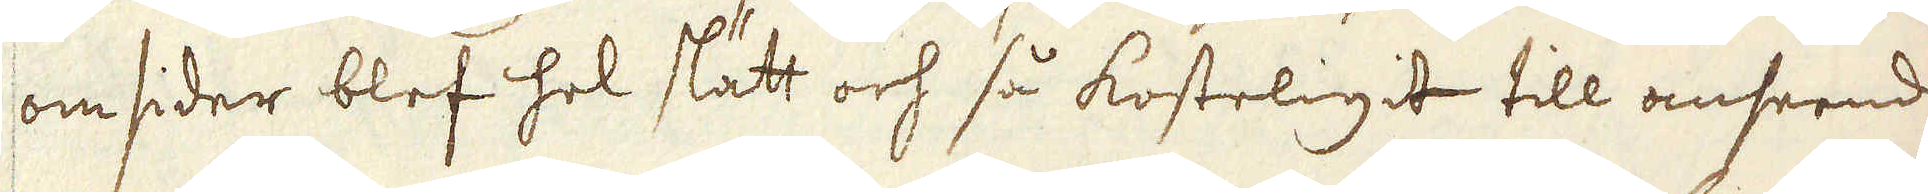omsider blef hel slätt och så kosteligit till anseende
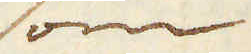som
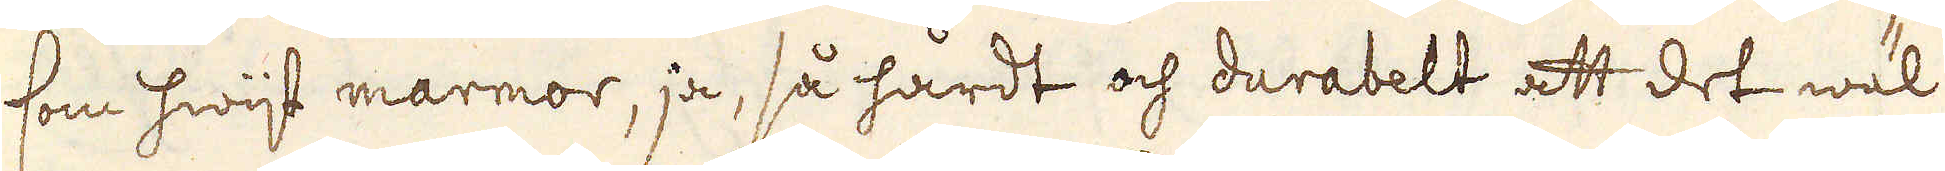som hwijt marmor, ja, så hårdt och durabelt att det wäl
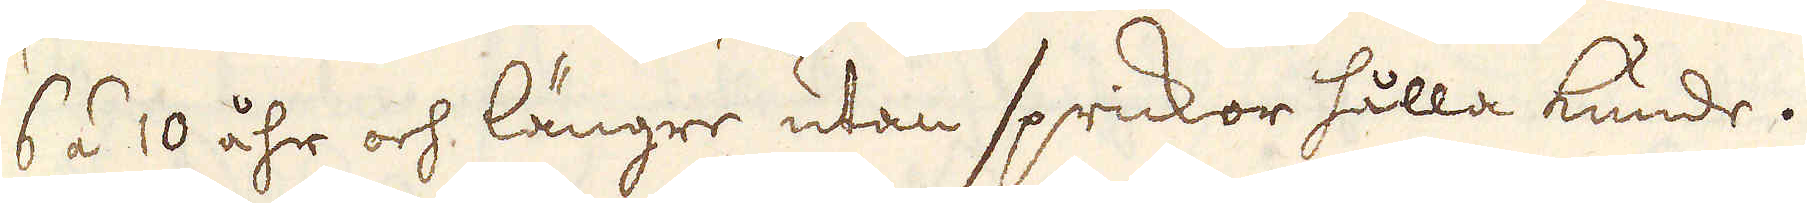6 á 10 åhr och längre utan sprickor hålla kunde.
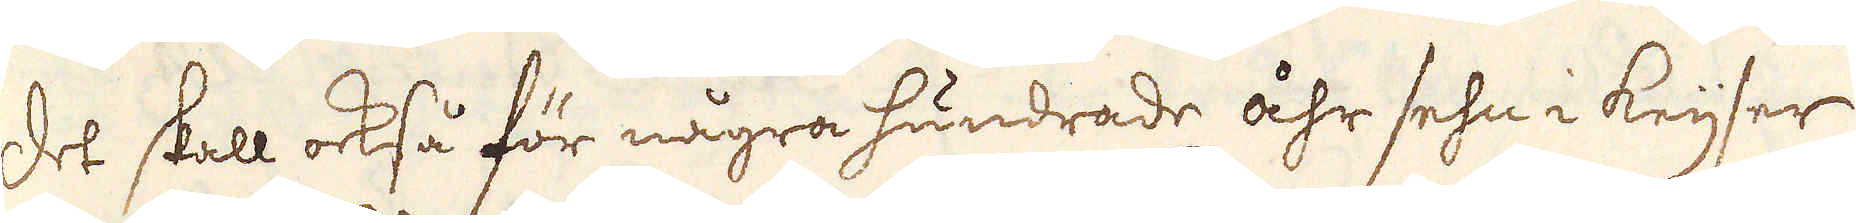Det skall också för några hundrade åhr sehn i Keijser
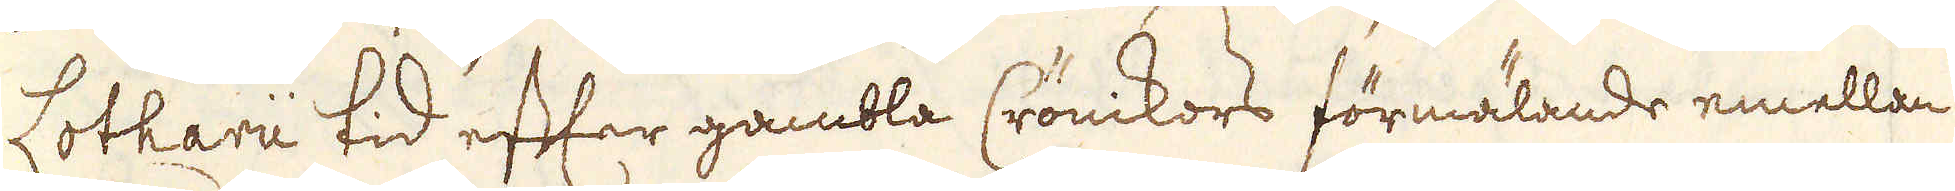Lotharii tid eftar gambla Crönikors förmälande emellan
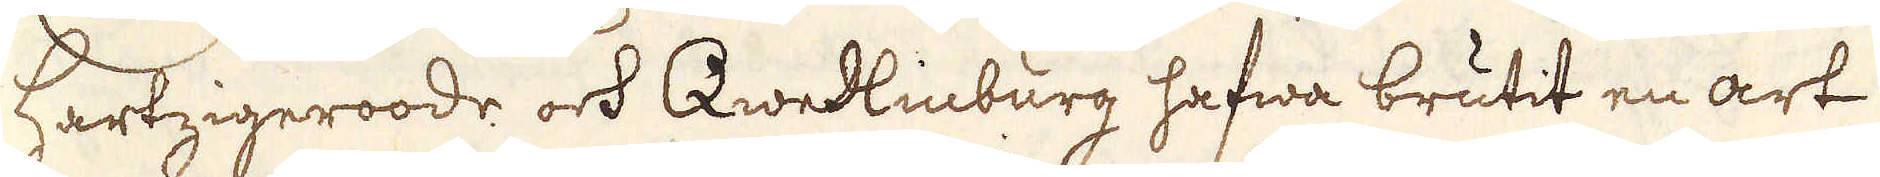Hartzigeroode och Qwedlingburg hafwa brutit en art
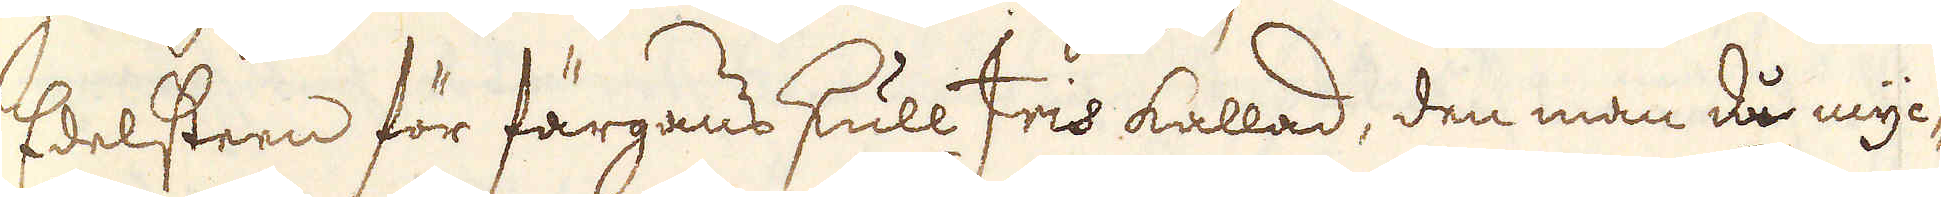Edelsteen för färgans skull Iris kallad, den man då myc-
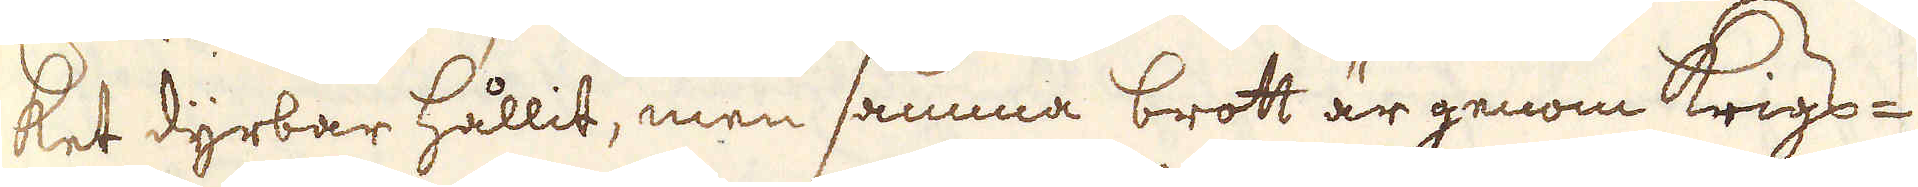ket dyrbar hållit, men samma brott är genom Krigs-
